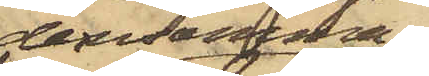densamma,
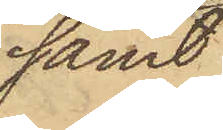samt
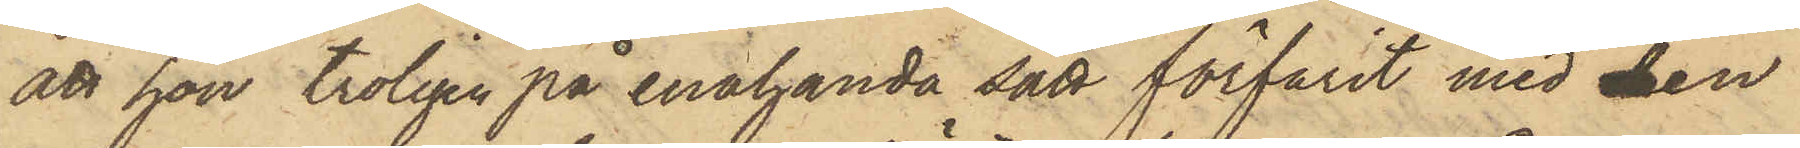att hon troligen på enahanda sätt förfarit med den
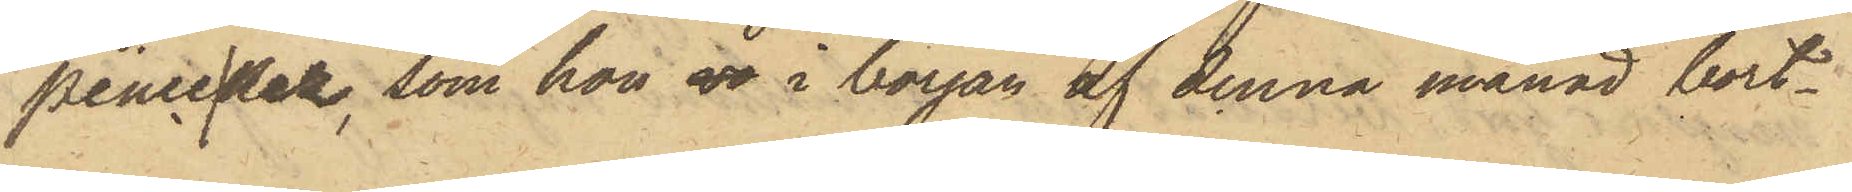pincenez, som hon vr i början af denna månad bort¬
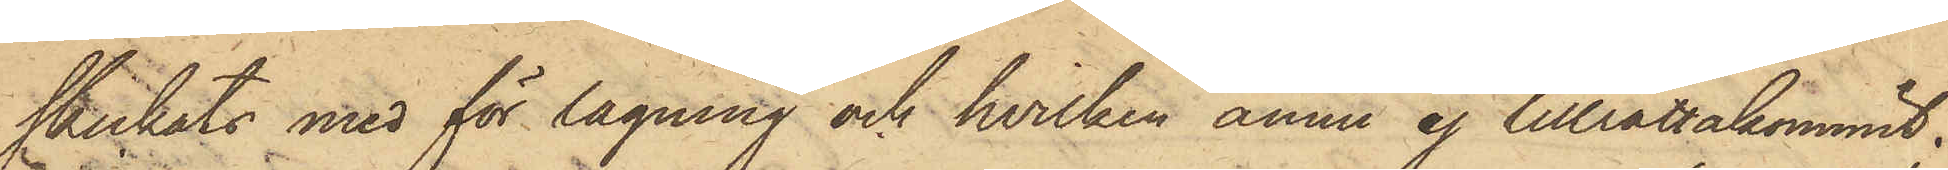skickats med för lagning och hvilken ännu ej tillrättakommit.
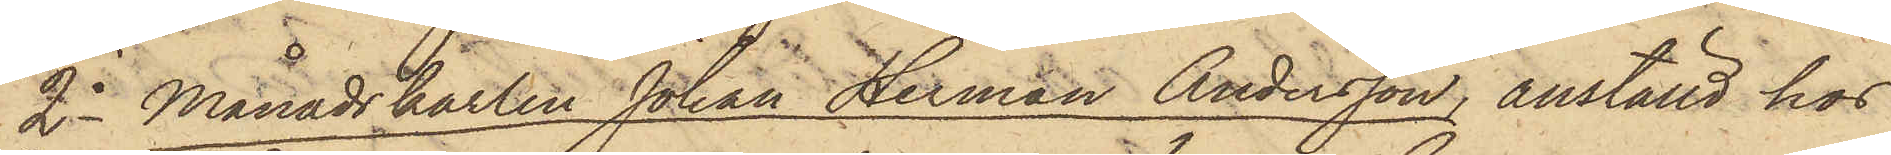2o Månadskarlen Johan Herman Andersson, anställd hos
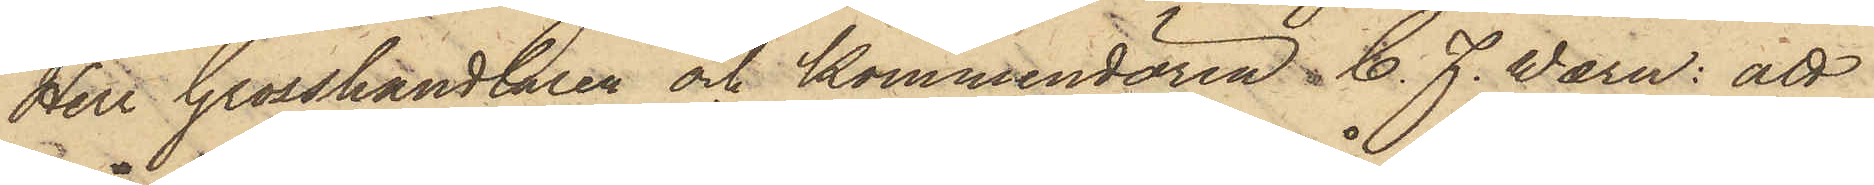Herr Grosshandlaren och Kommendören C. J. Wærn: att
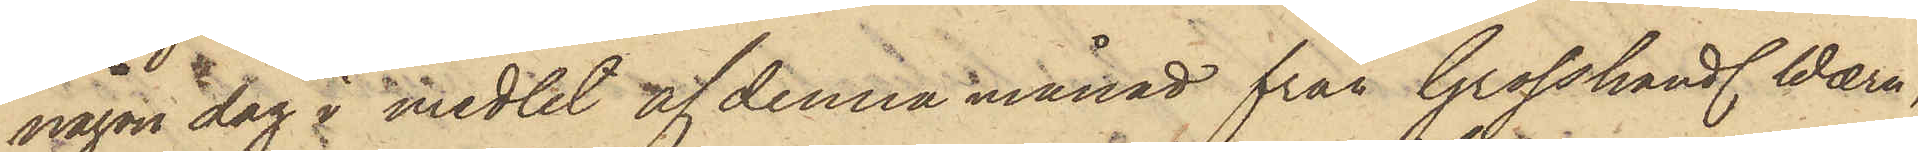någon dag i medlet af denna månad från Grosshandl. Wærn,
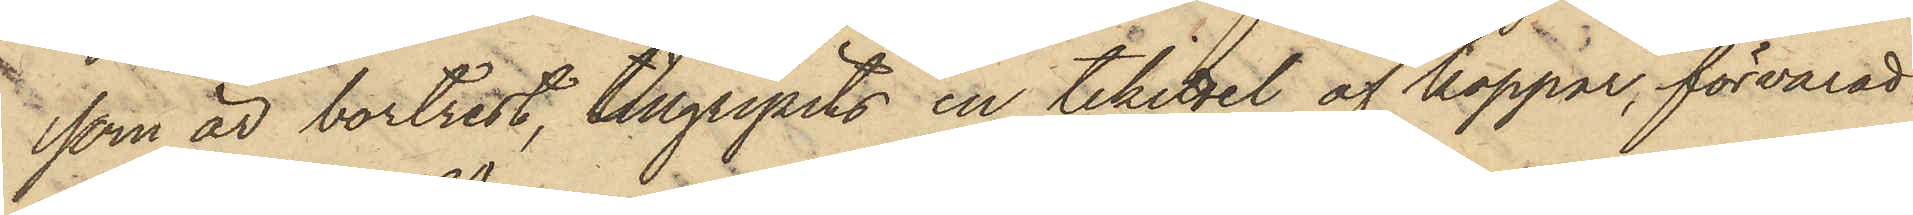som är bortrest, tillgripits en tekittel af koppar, förvarad
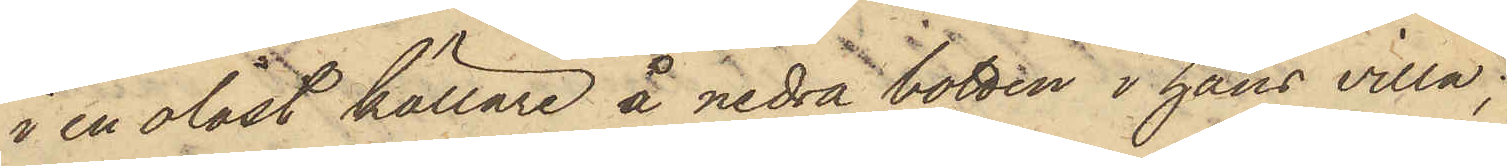i en olåst källare å nedra botten i hans villa;
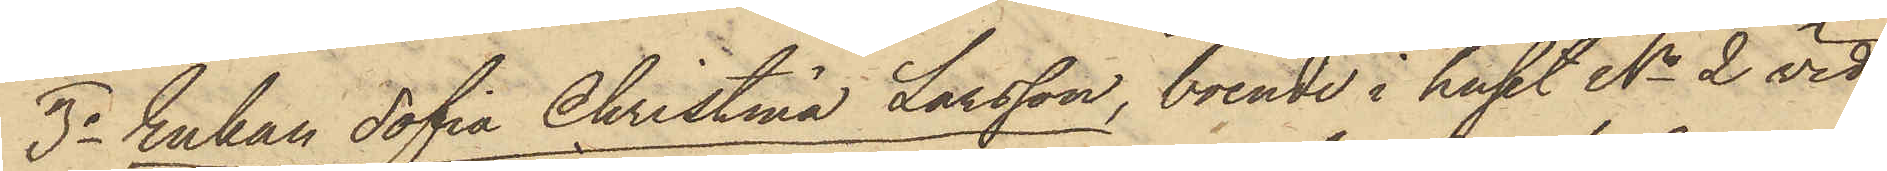3o Enkan Sofia Christina Larsson, boende i huset No 2 vid
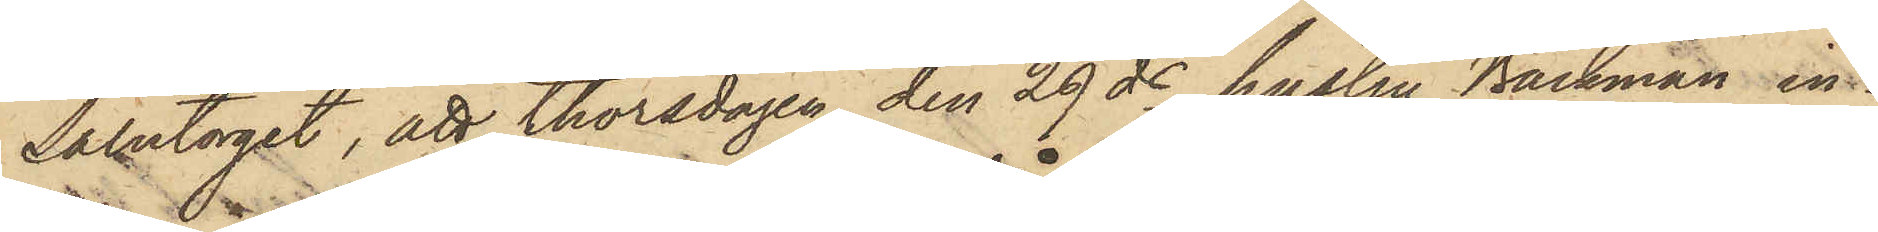Salutorget, att thorsdagen den 29 ds hustru Bäckman in¬
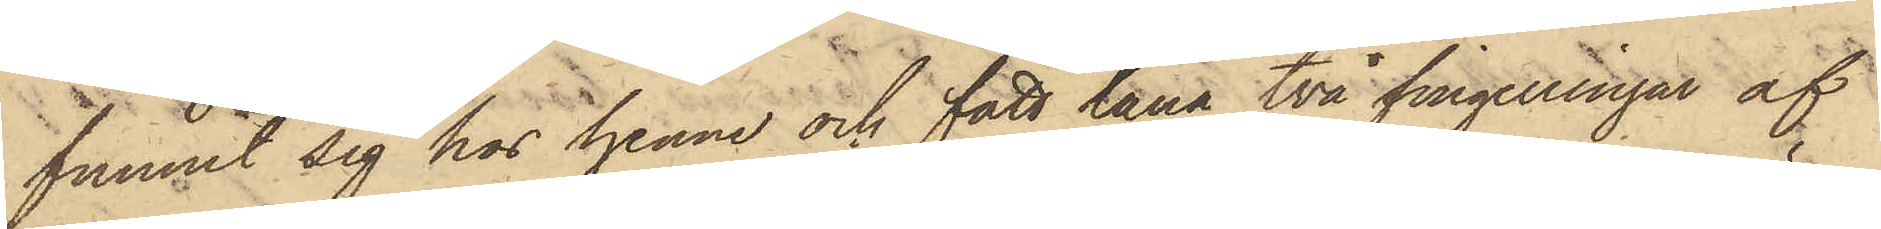funnit sig hos henne och fått låna två fingerringar af
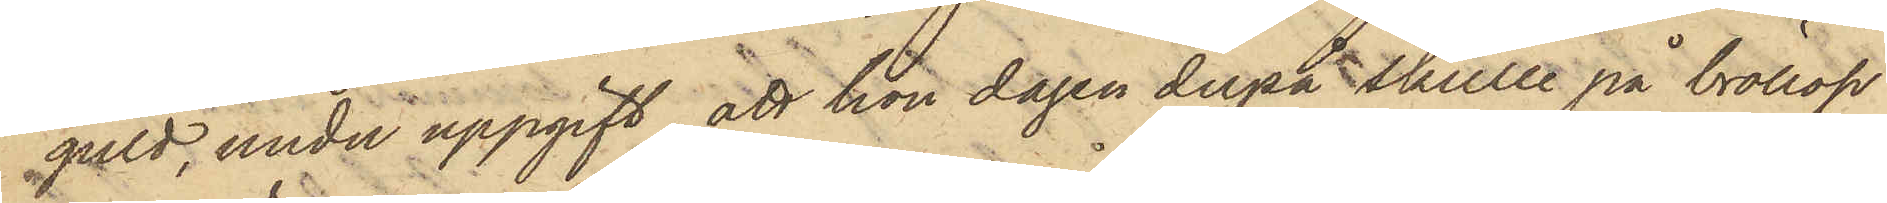guld, under uppgift att hon dagen derpå skulle på bröllop
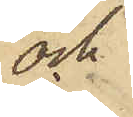och
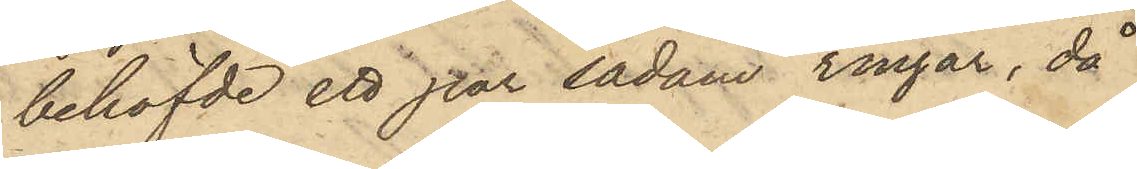behöfvde ett par sådane ringar, då
